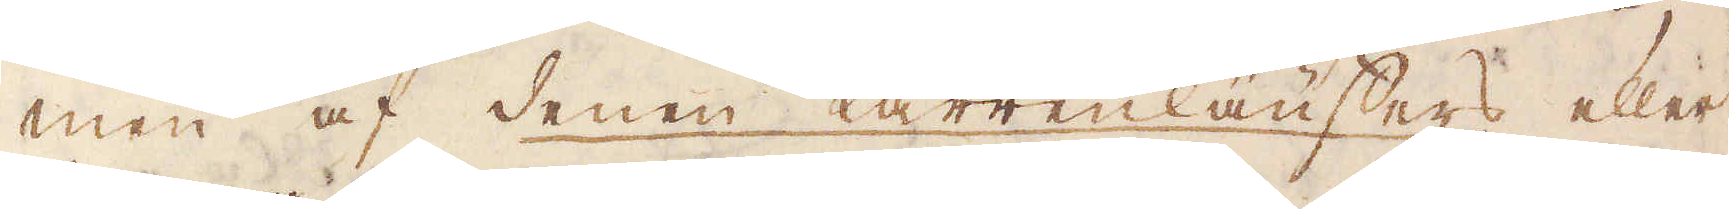men af denen Karrenläuffers eller
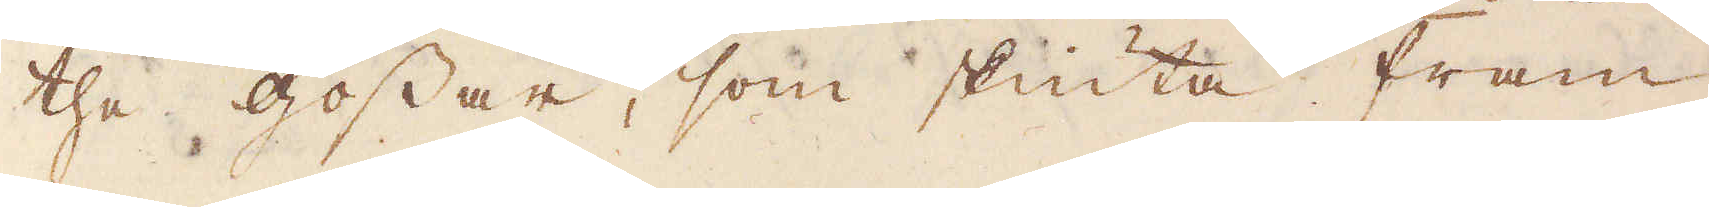the gossar, som skiuta fram
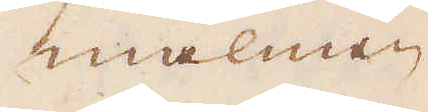malmen
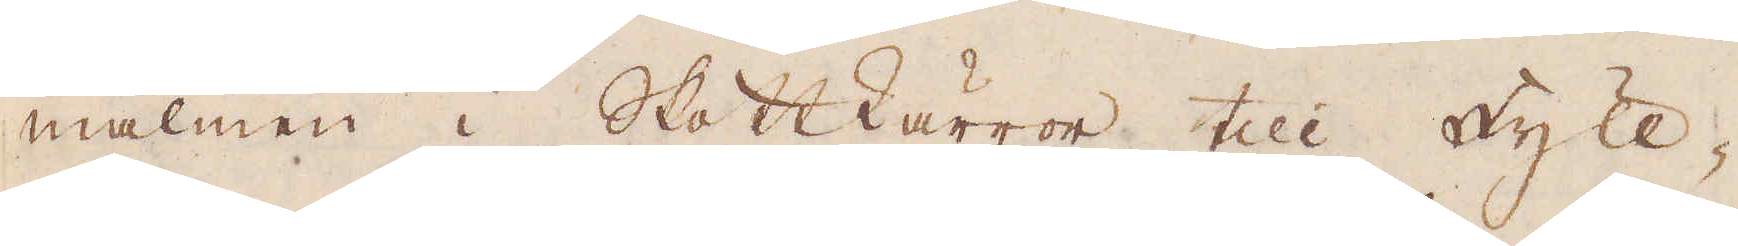malmen i Skottkärror till Fyll-
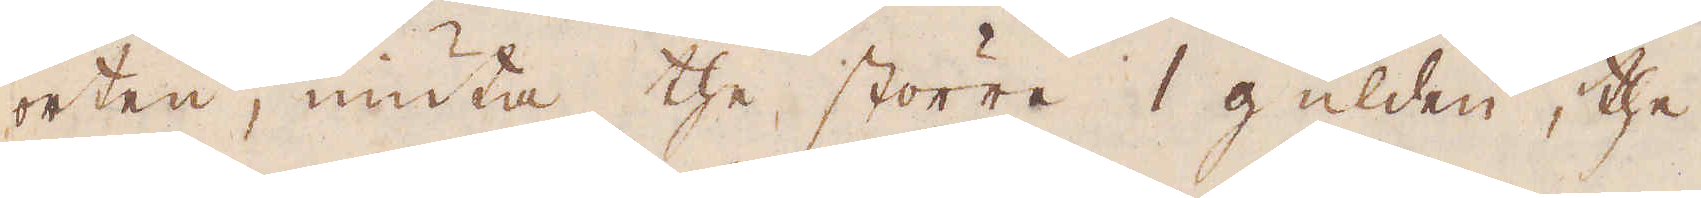orten, niuta the större 1 gülden, the
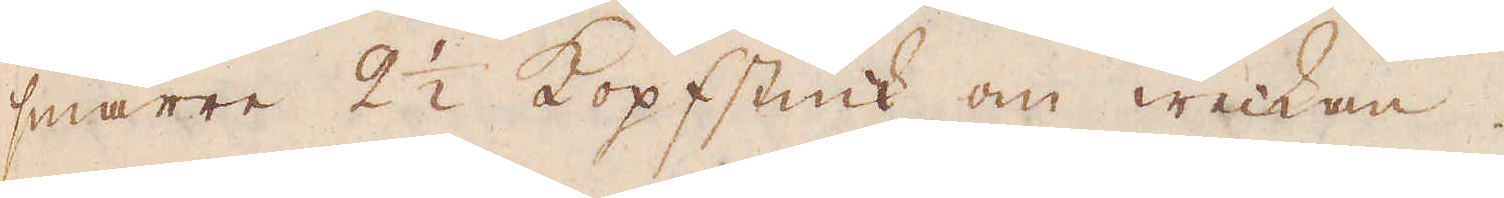smärre 2 1/2 kopfstück om weckan.
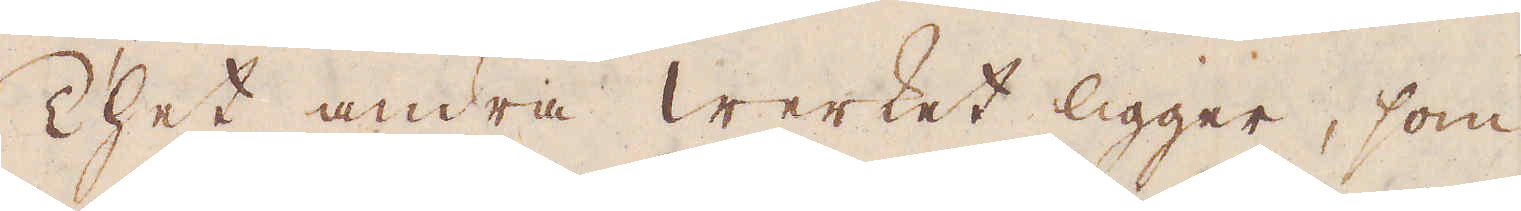Thet andra werket ligger, som
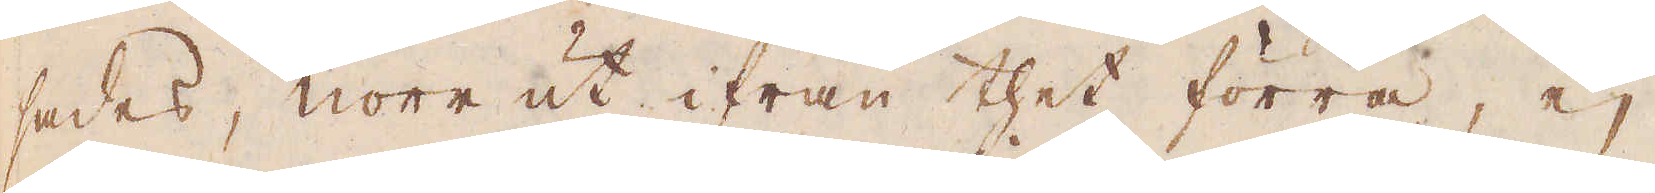sades, norr ut ifrån thet förra, ej
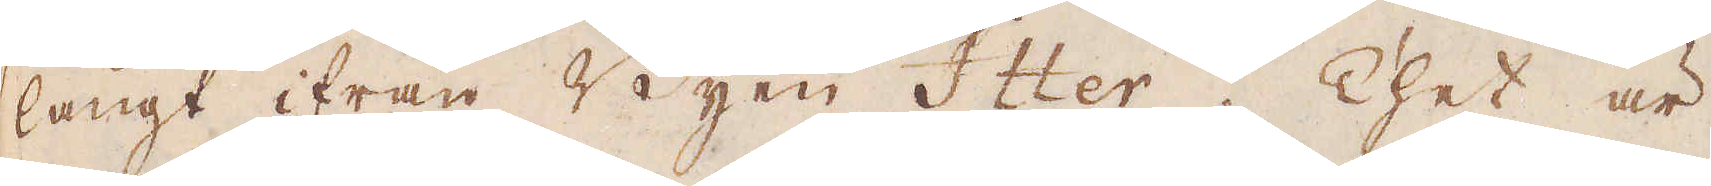långt ifrån Byen Itter. Thet är
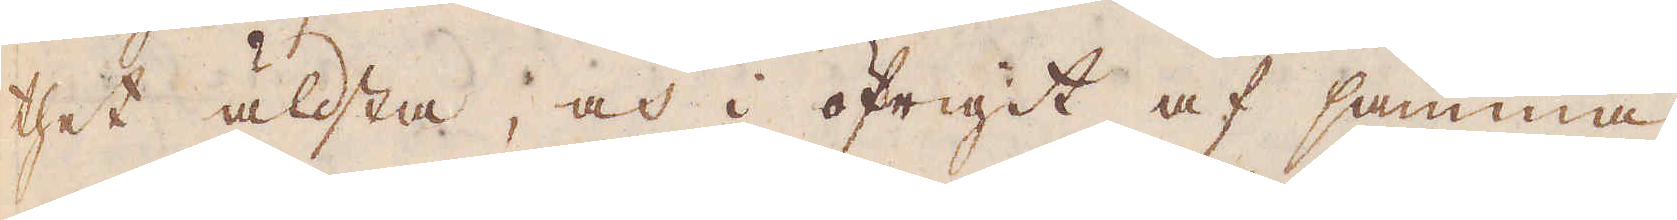thet älsta, och i öfrigit af samma
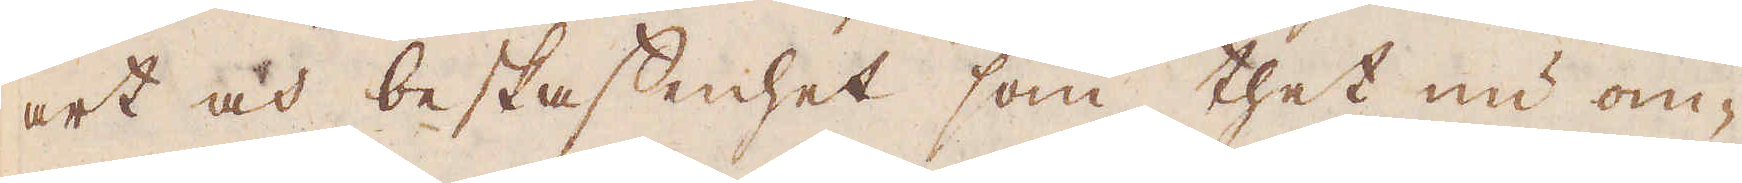art och beskaffenhet som thet nu om-
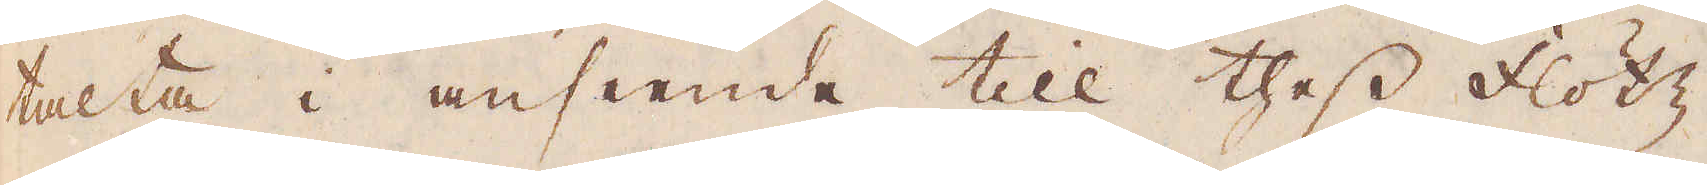talta i anseende till thess flötz
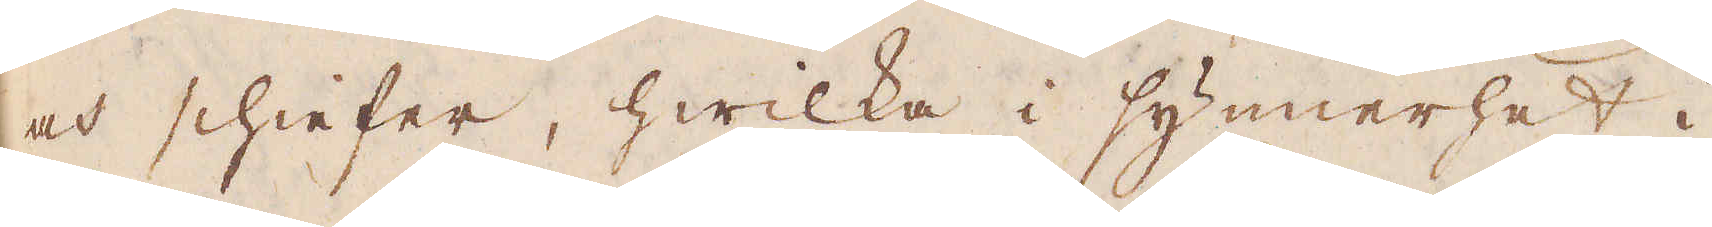och schiefer, hwilka i synnerhet i
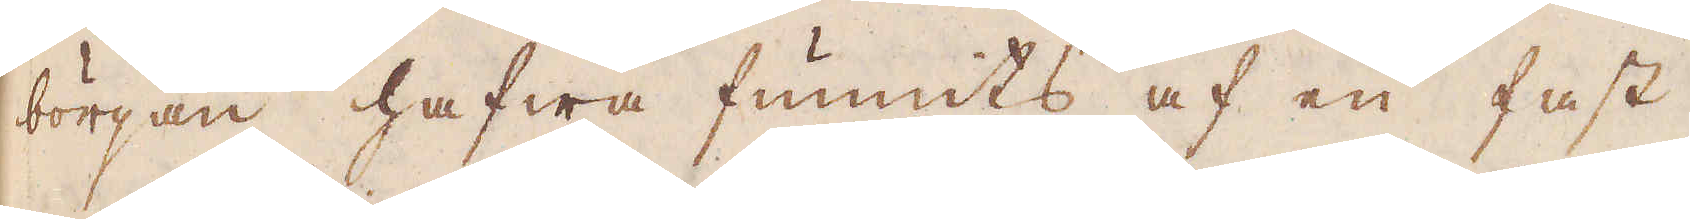början hafwa funnits af en fast
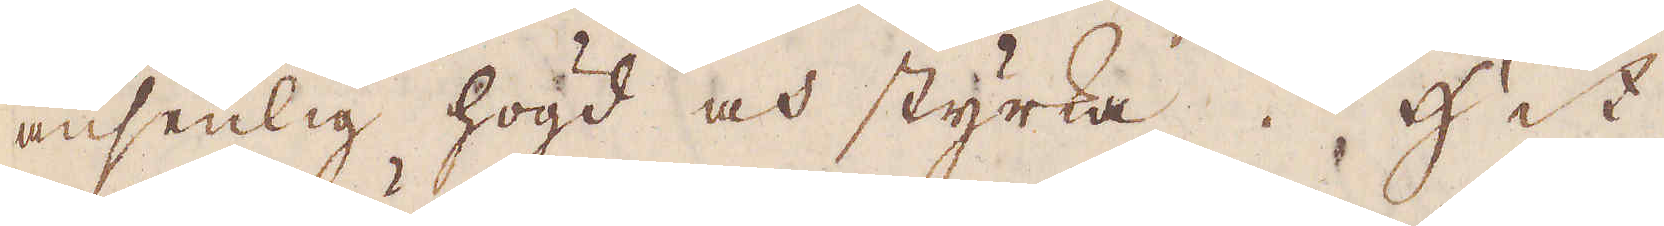ansenlig högd och styrka. Hit
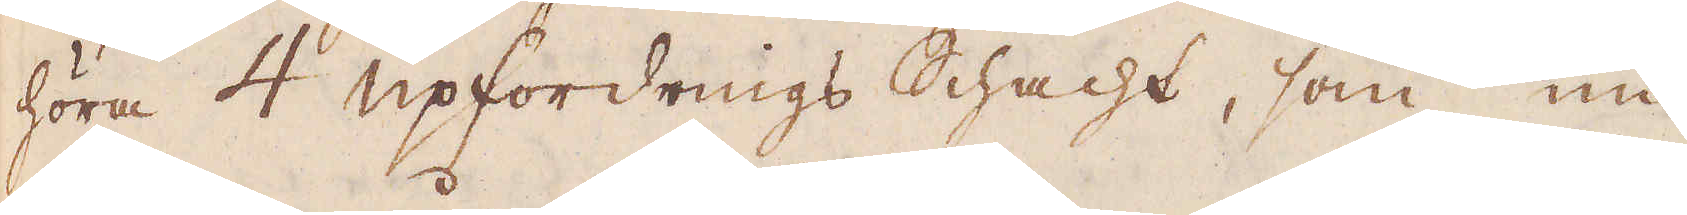höra 4 upfordrings schacht, som nu
